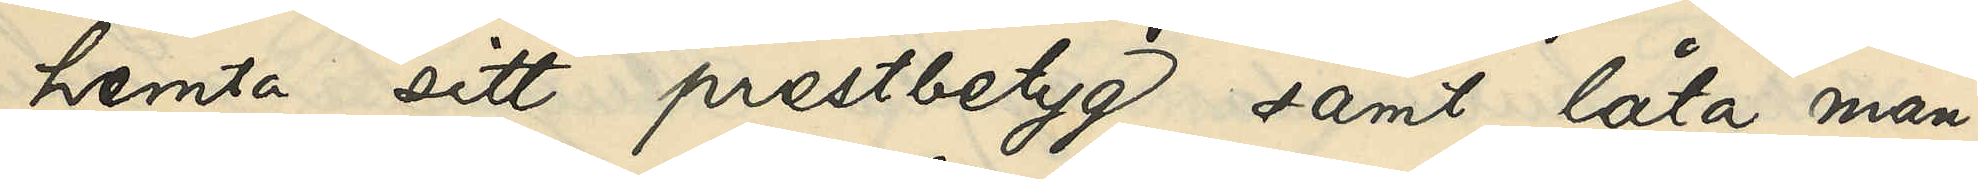hemta sitt prestbetyg samt låta man¬
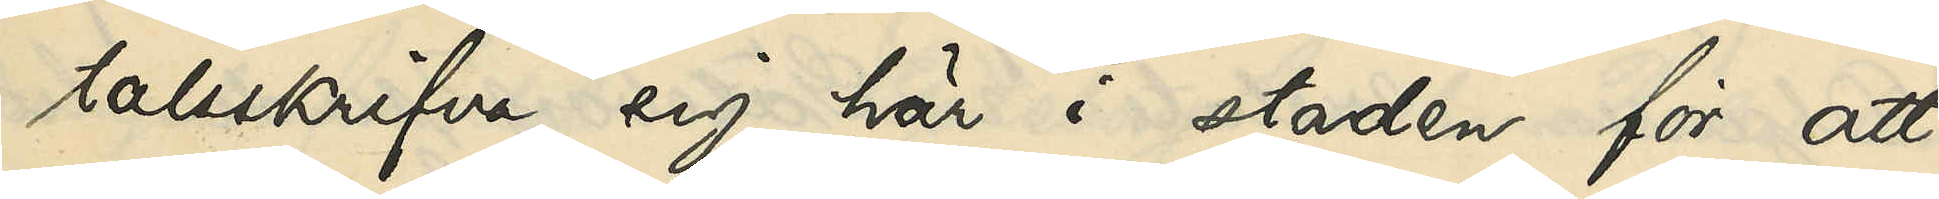talsskrifva sig här i staden för att
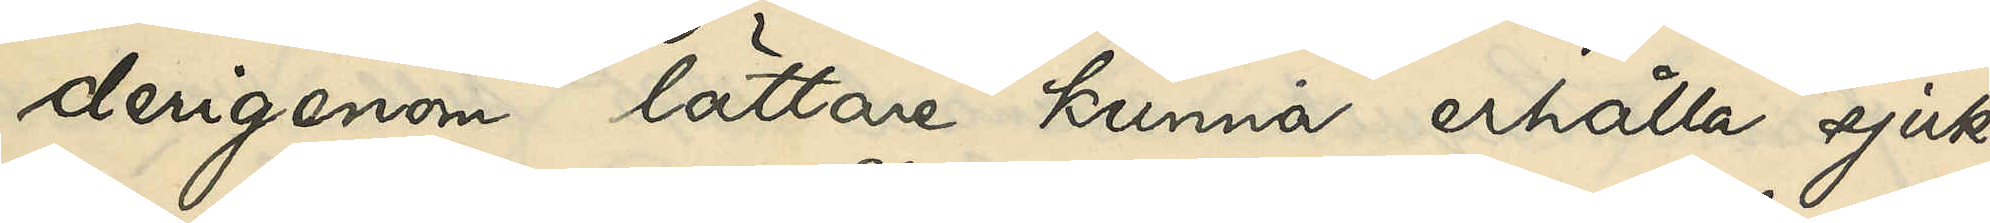derigenom lättare kunna erhålla sjuk¬
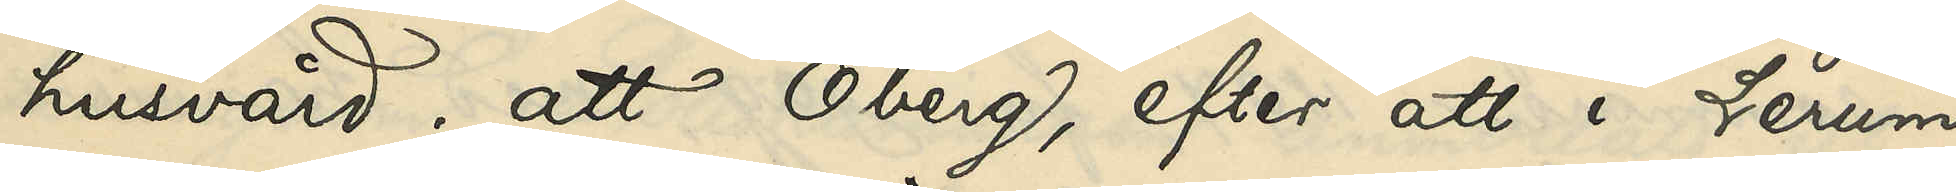husvård; att Öberg, efter att i Lerum
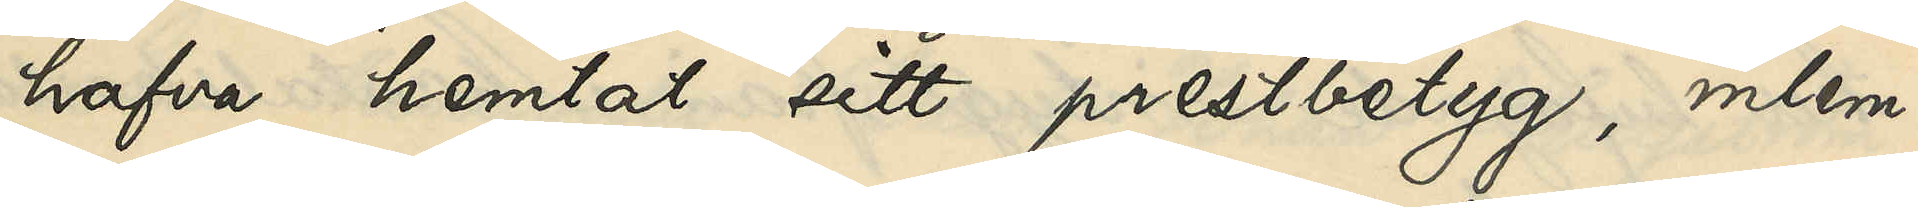hafva hemtat sitt prestbeytg, inlem¬
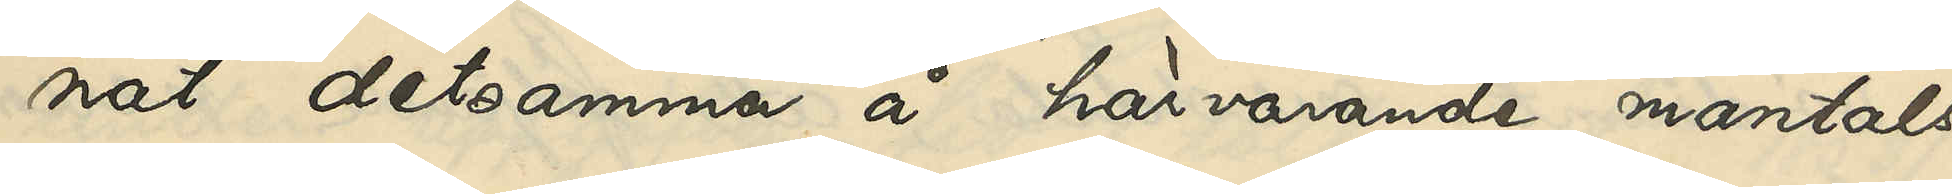nat detsamma å härvarande mantals¬
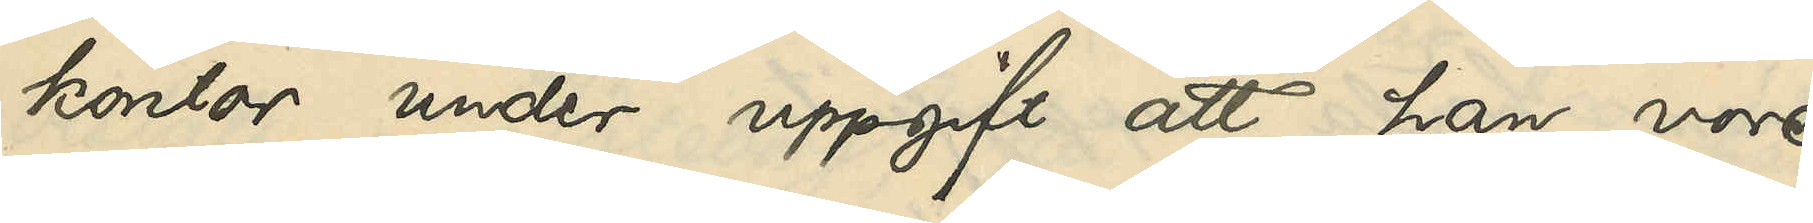kontor under uppgift att han vore
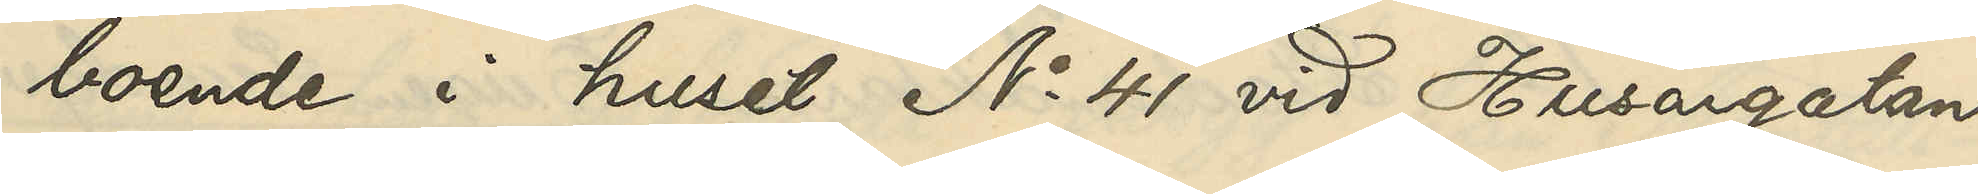boende i huset No 41 vid Husargatan
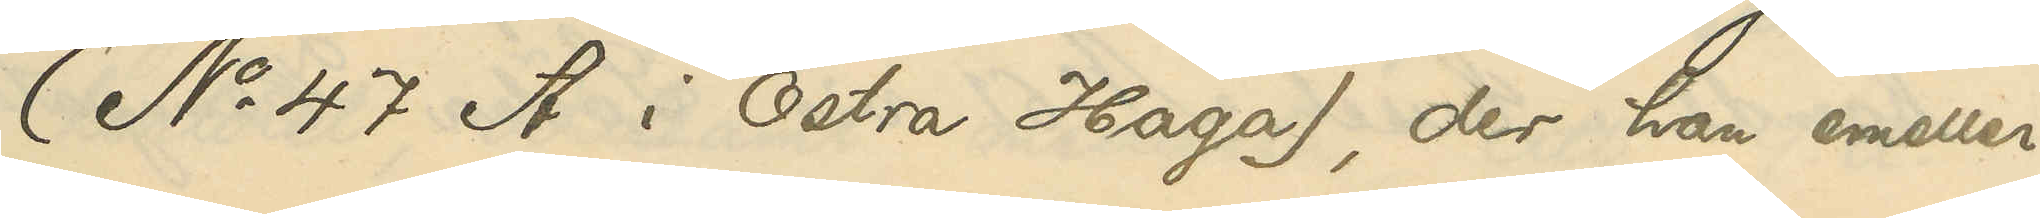(No 47 A i Östra Haga), der han emeller¬
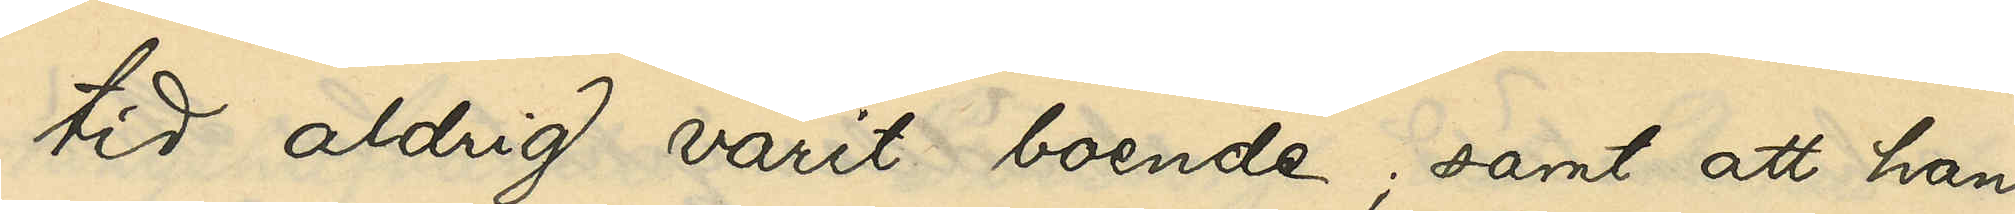tid aldrig varit boende; samt att han
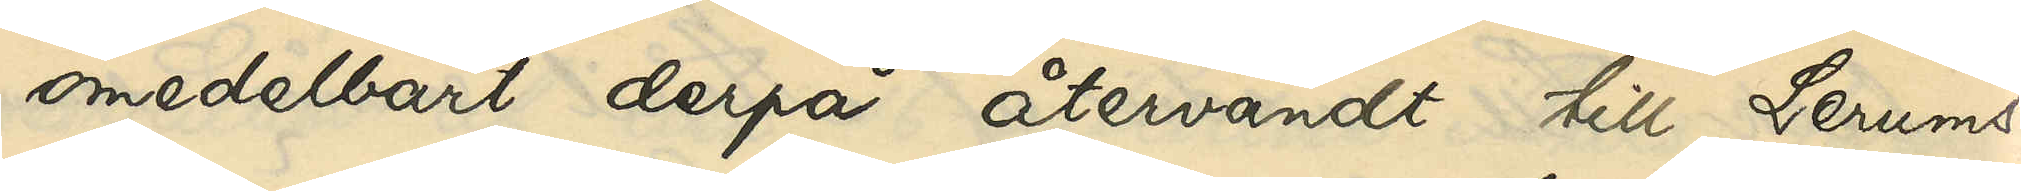omedelbart derpå återvändt till Lerums
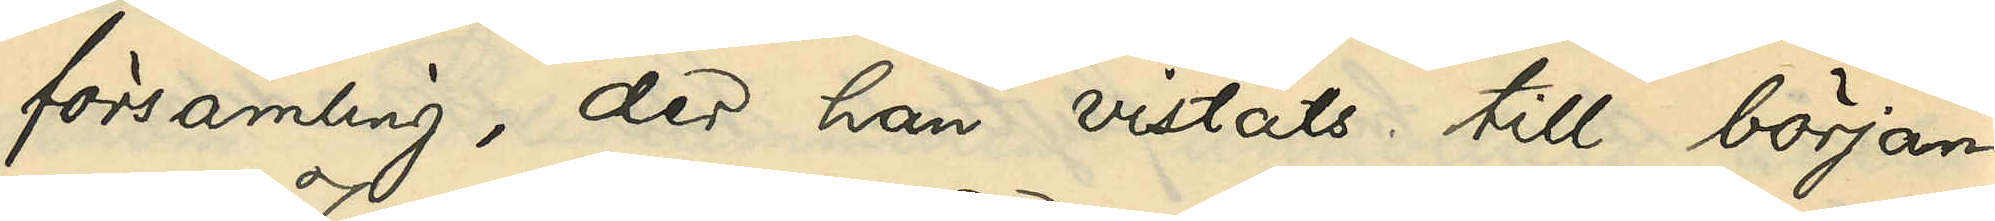församling, der han vistats till början
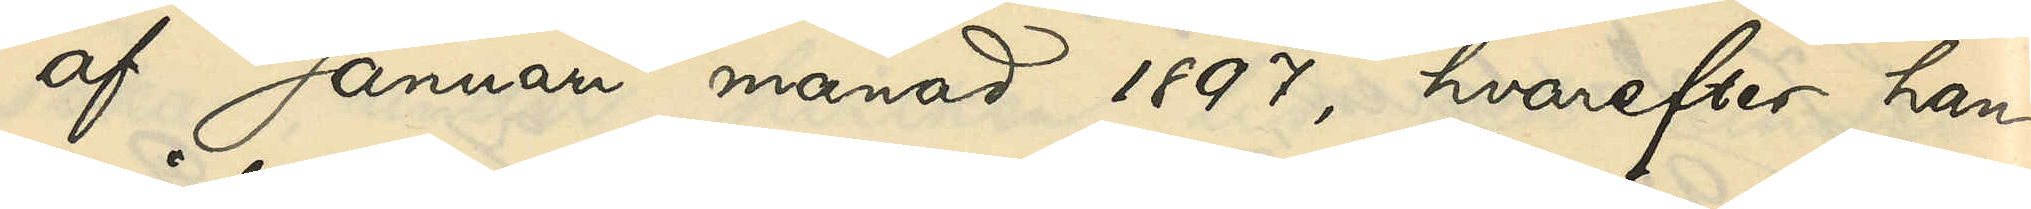af Januari 1897, hvarefter han
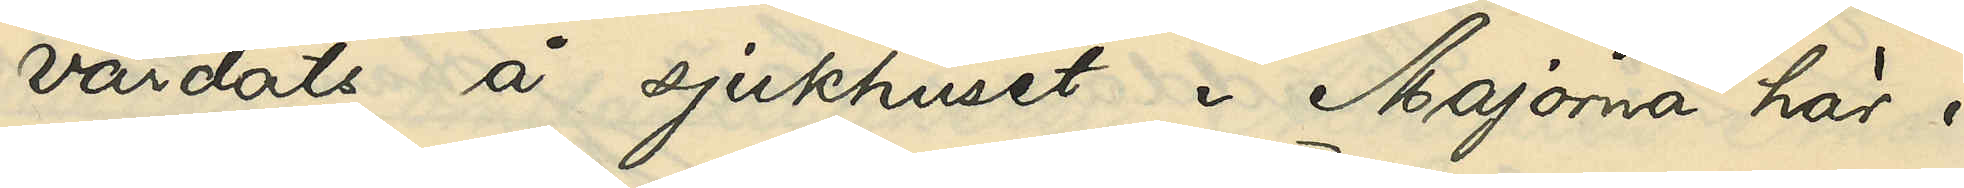vårdats å sjukhuset i Majorna här i
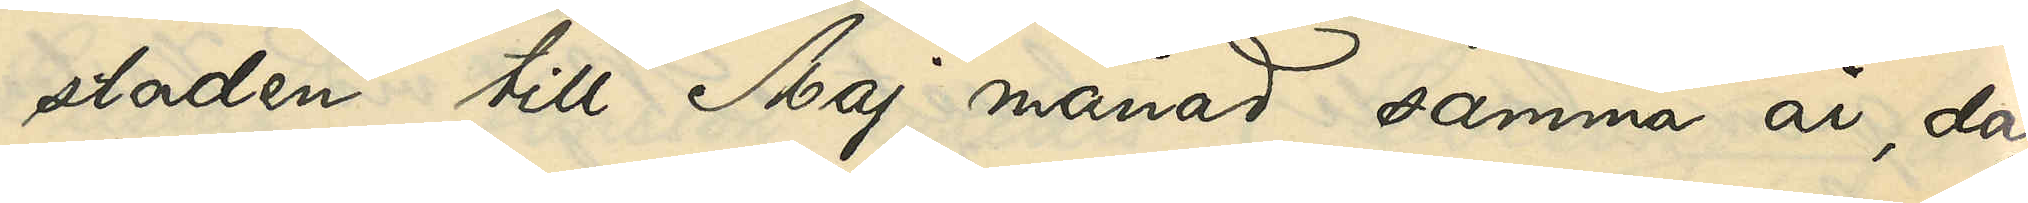staden till Maj månad samma år, då
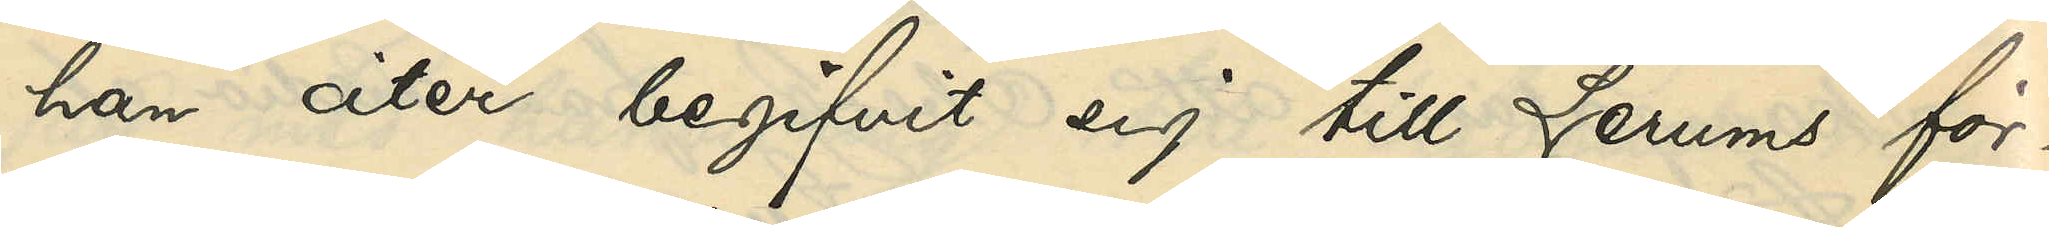han åter begifvit sig till Lerums för¬
